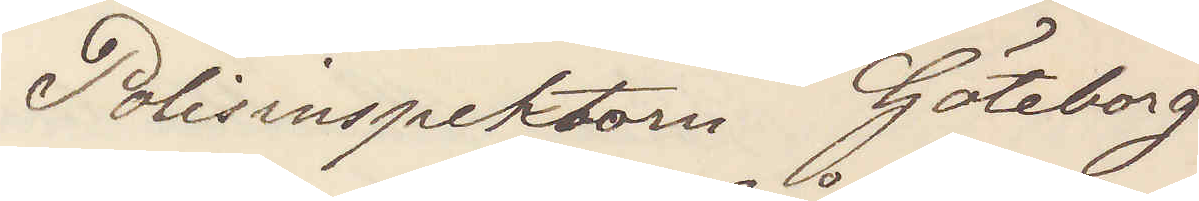Polisinspektorn Göteborg
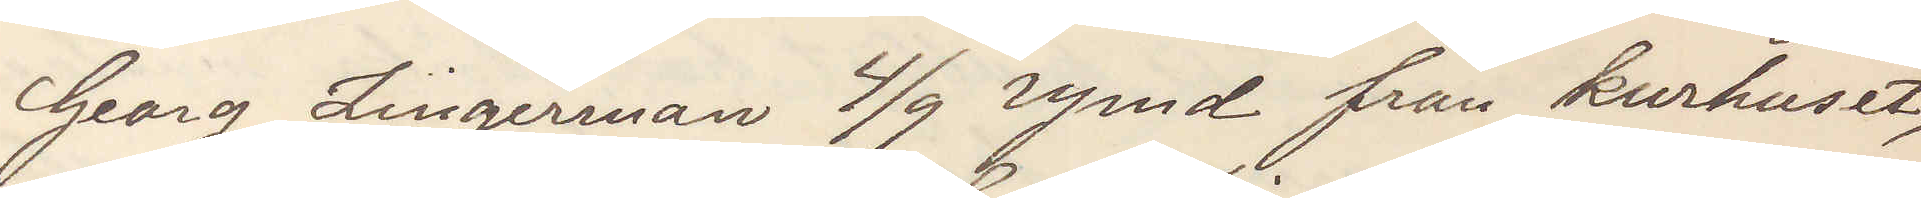Georg Zingerman 4/9 rymd från kurhuset,
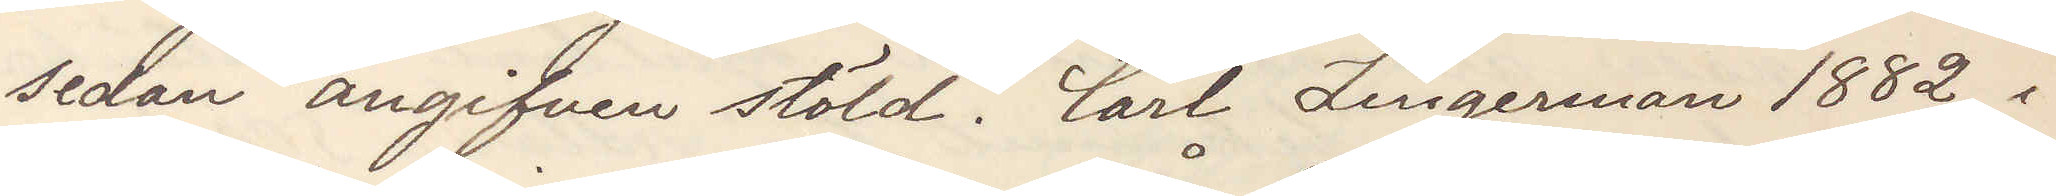sedan angifven stöld. Carl Zingerman 1882 i
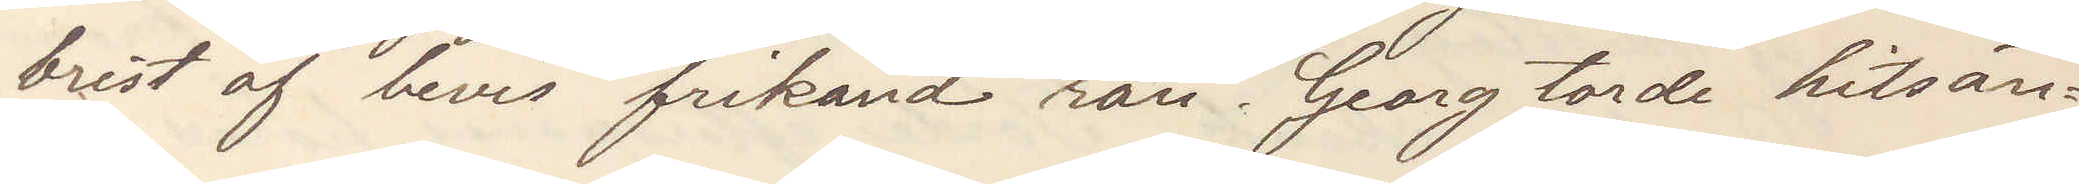brist på bevis frikänd rån. Georg torde hitsän¬
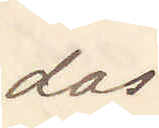das.
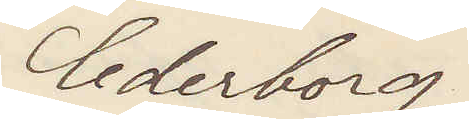Cederborg.
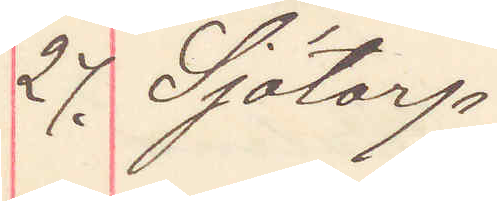27. Sjötorp
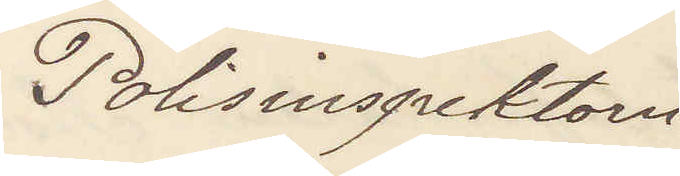Polisinspektorn 
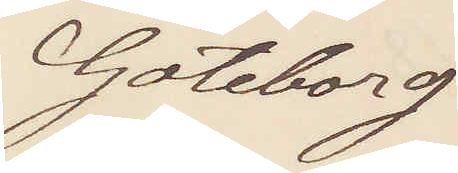Göteborg
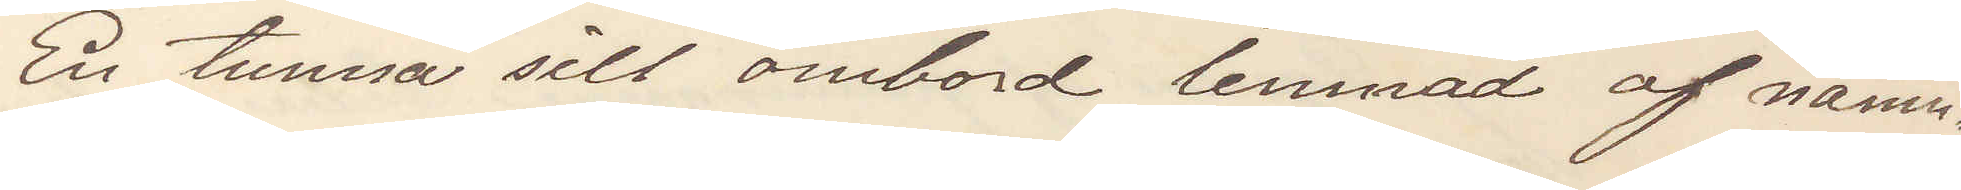En tunna sill ombord lemnad af näm¬
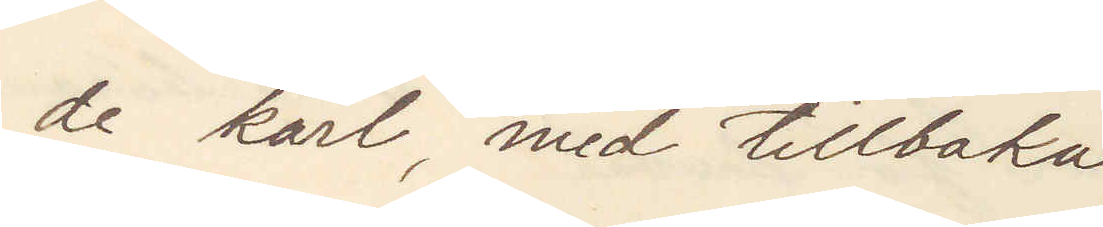de karl, med tillbaka
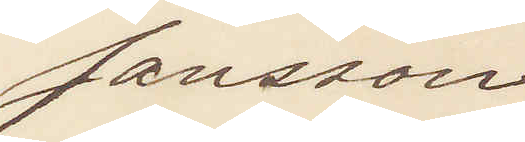Jansson
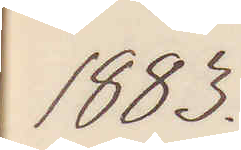1883.
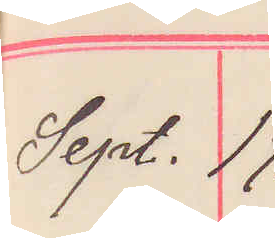Sept. 17.
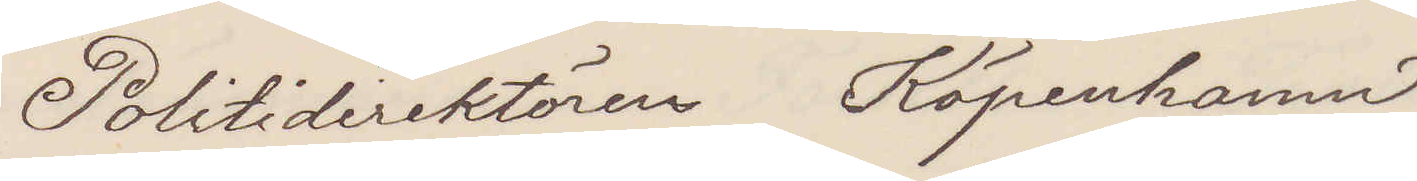Politidirektören Köpenhamn
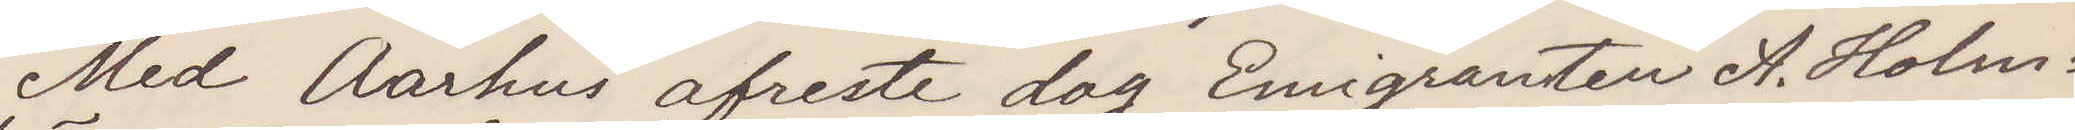Med Aarhus afreste dag Emigranten A. Holm¬
